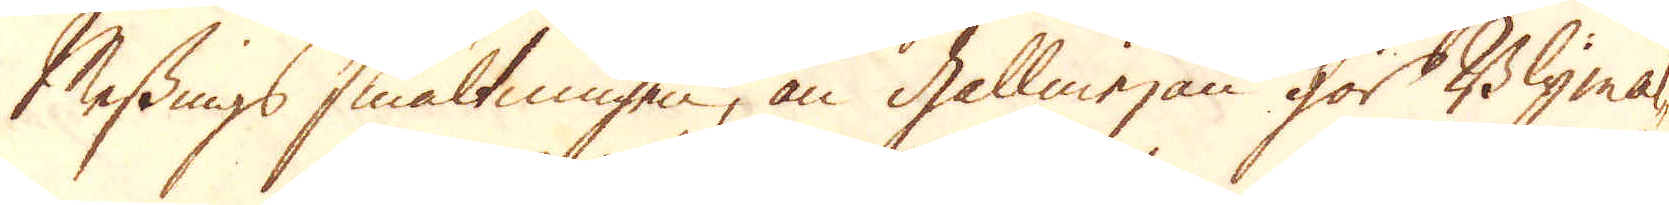Messings smältningen, än gallmejan gör Blymal-
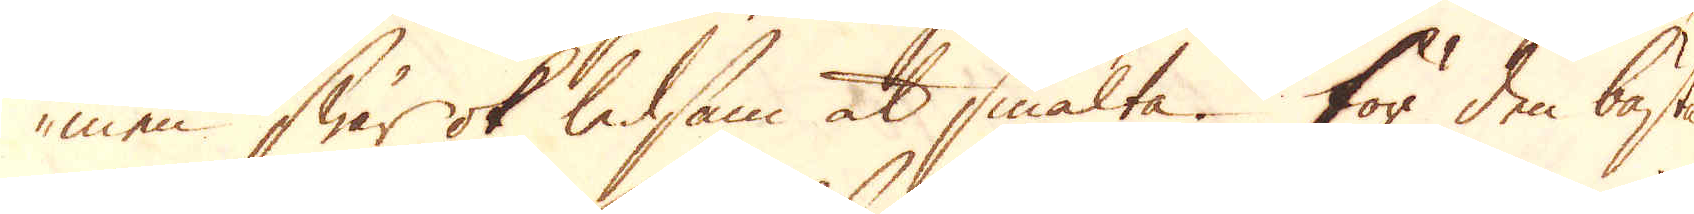men swår ok ledsam at smälta. För den bästa
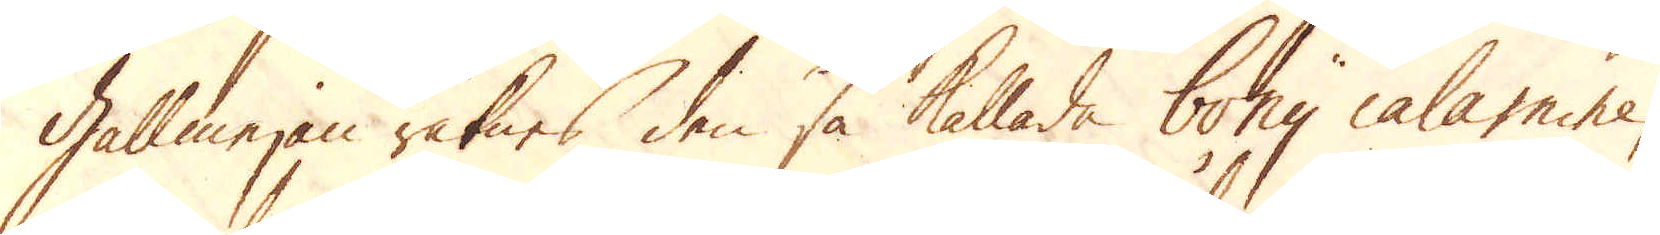Gallmejan räknes den så kallade bony calamine,
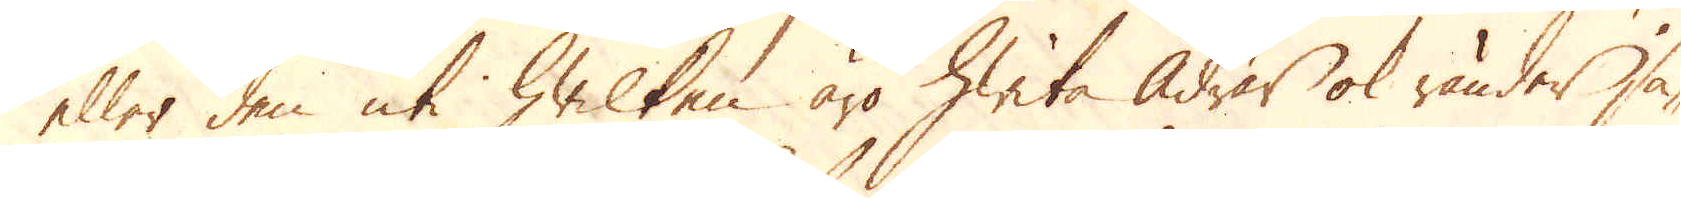eller den uti hwilken äro hwita Ådrar ok ränder så-
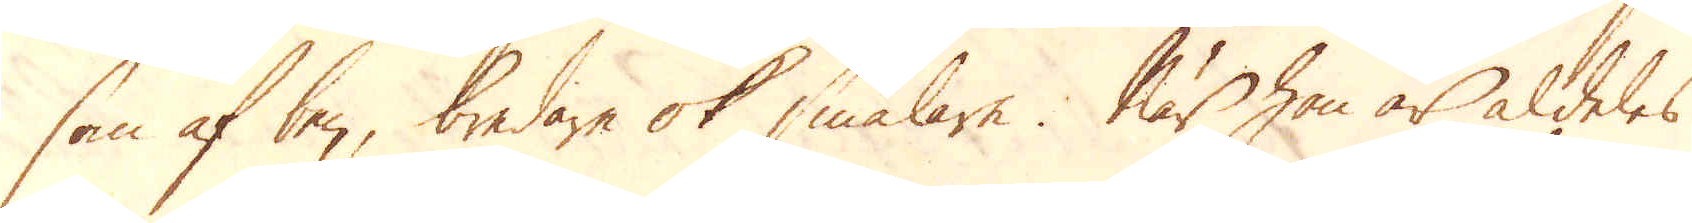som af ben, bredare ok smalare. När han är aldeles
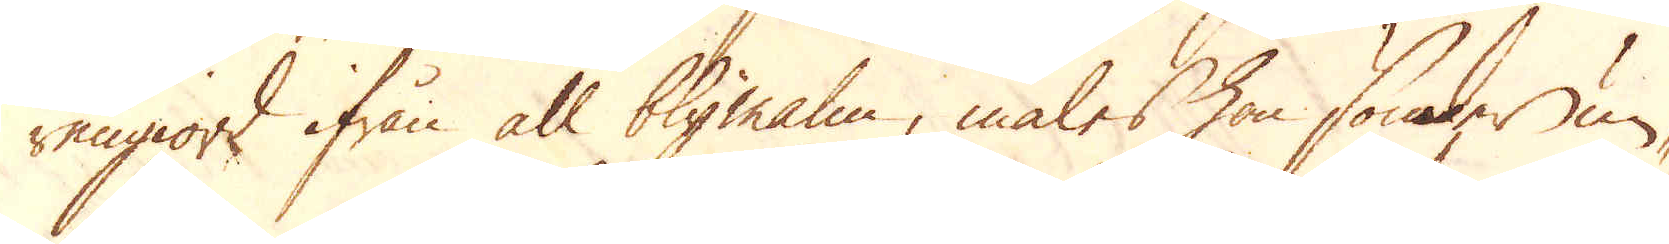rengiord ifrån all blymalm, males hon söner un-
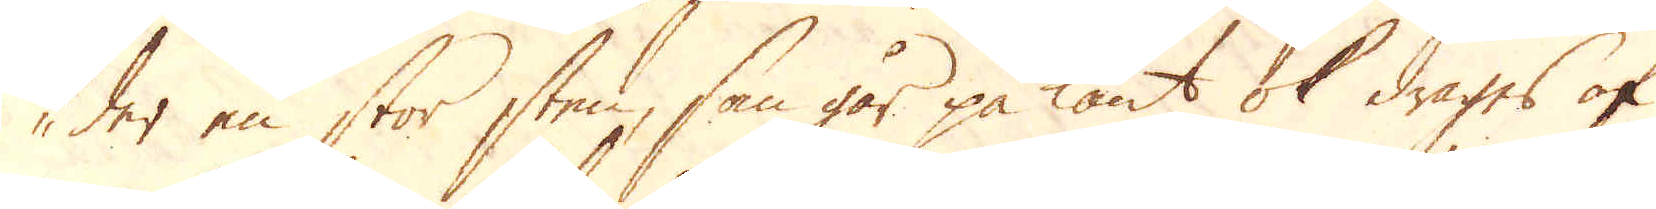der en stor sten, som går på kant ok drages af
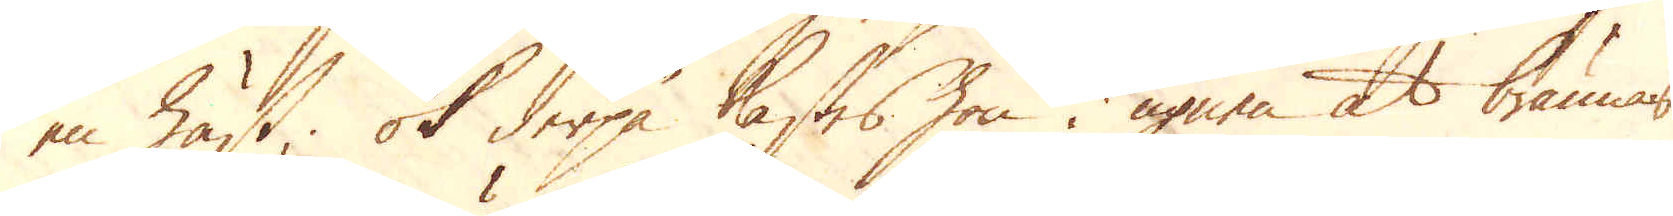en häst, ok derpå kastas hon i ugnen at brännas
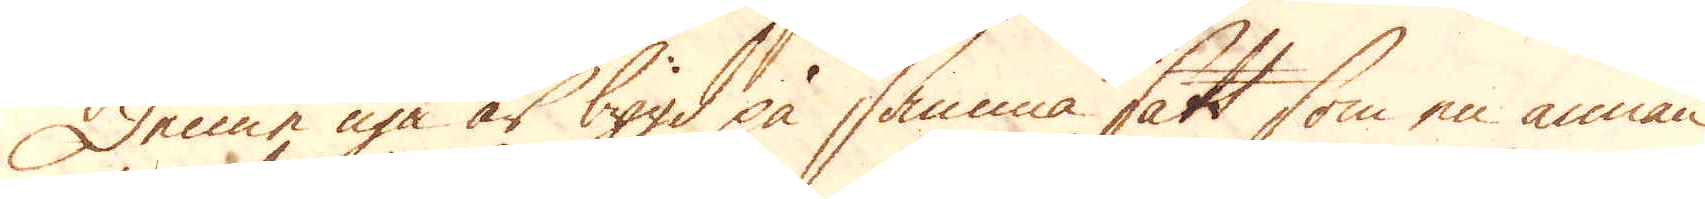Denne nya är bygd på samma sätt som en annan
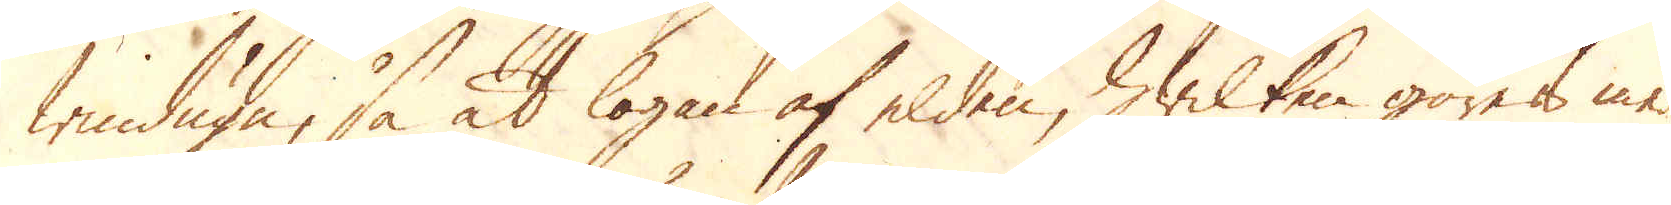windugn, så at logan af elden, hwilken göres med
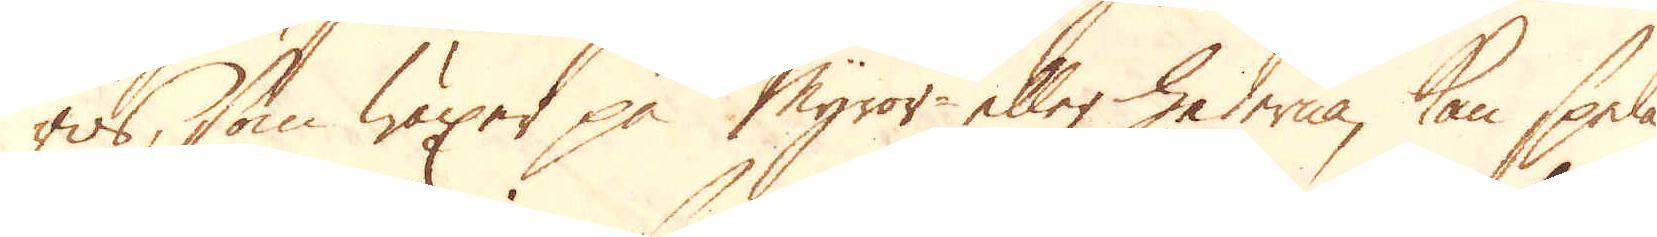ris, som wäxer på Myror- eller hederna, kan spela
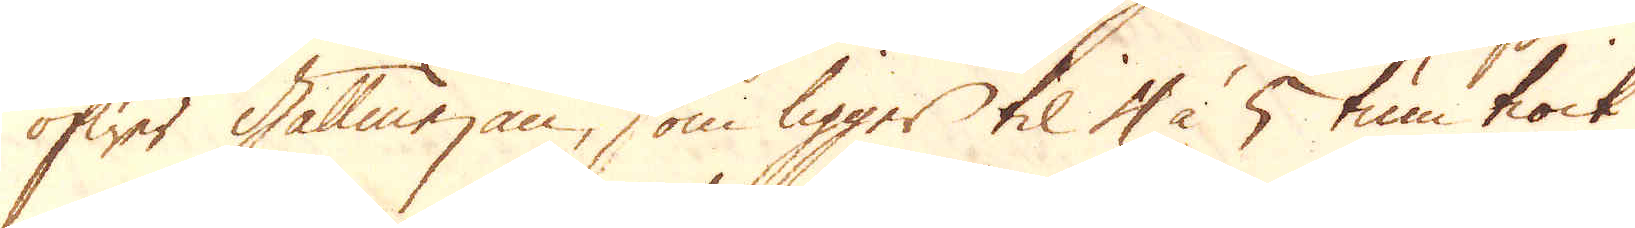öfwer Gallmejan, som ligger til 4 à 5 tum tiock
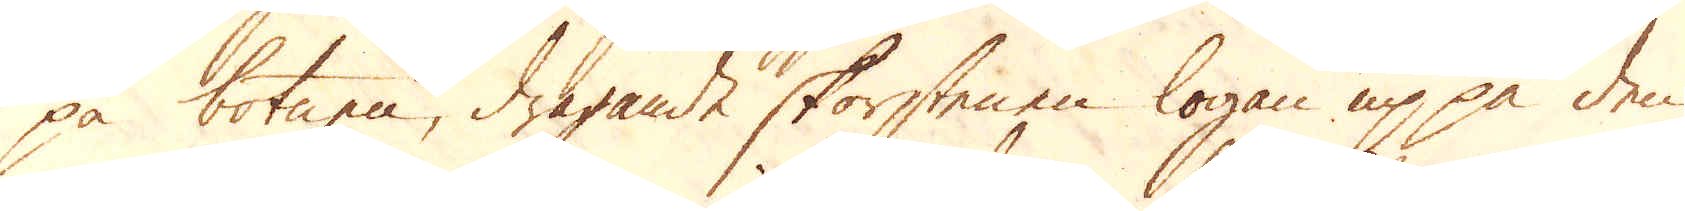på botnen, dragande skorstenen logan up på den
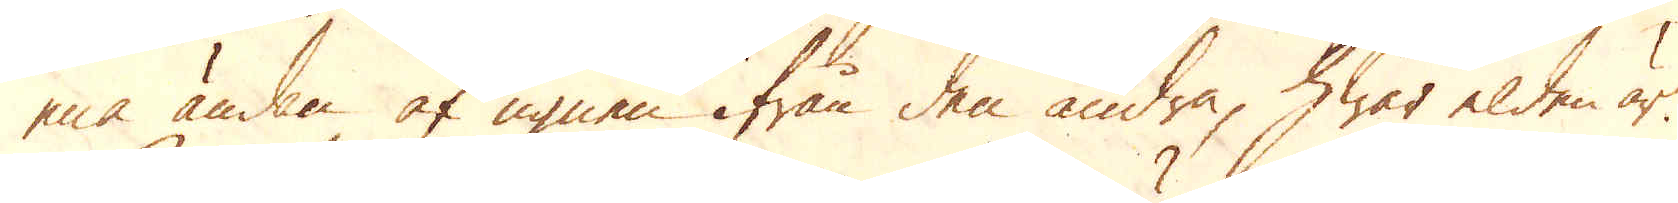ena ändan af ugnen ifrån den andra, hwar elden är.
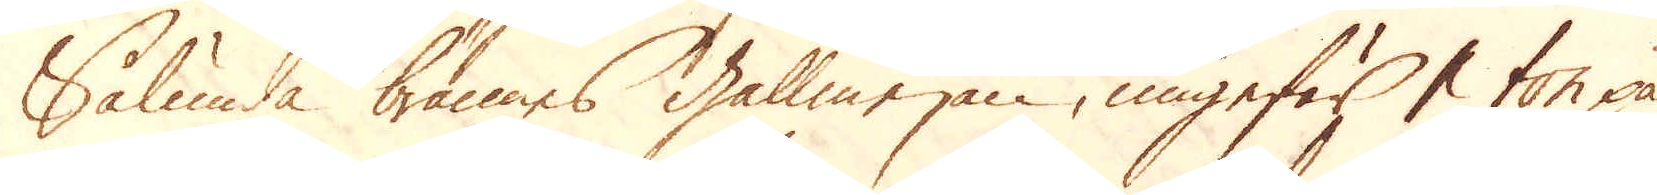Sålunda brännes gallmejan, ungefär 1 ton på
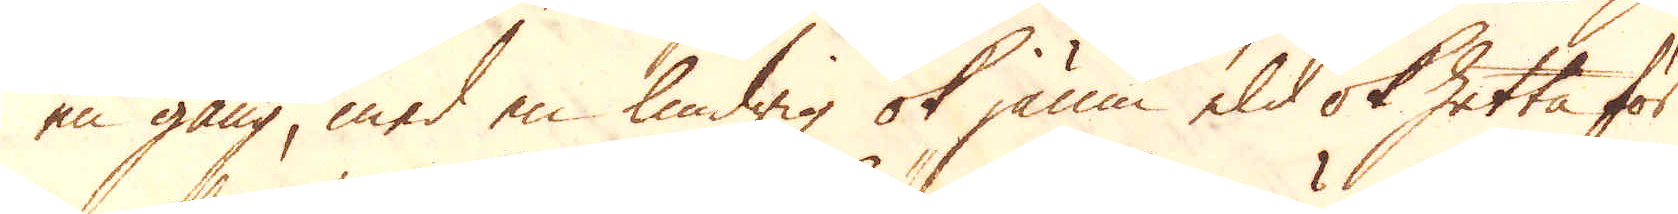en gång, med en lindrig ok jämn eld ok hetta för
